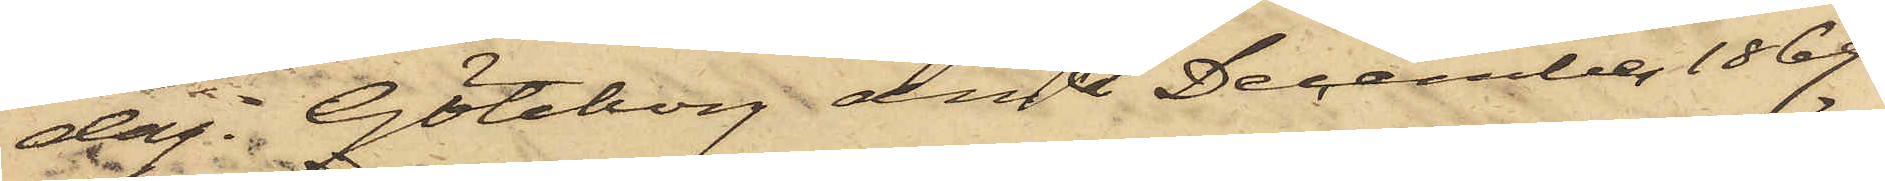dag. Göteborg den 3 December 1869.
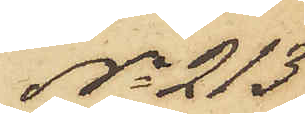No 213
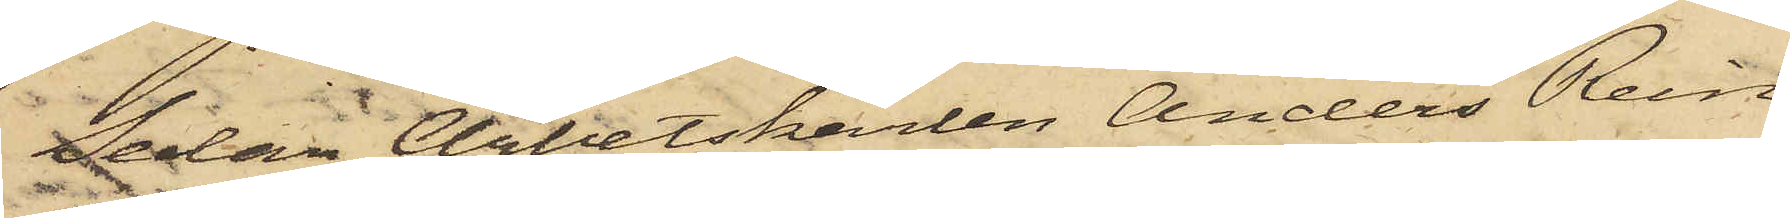Sedan Arbetskarlen Anders Rein¬
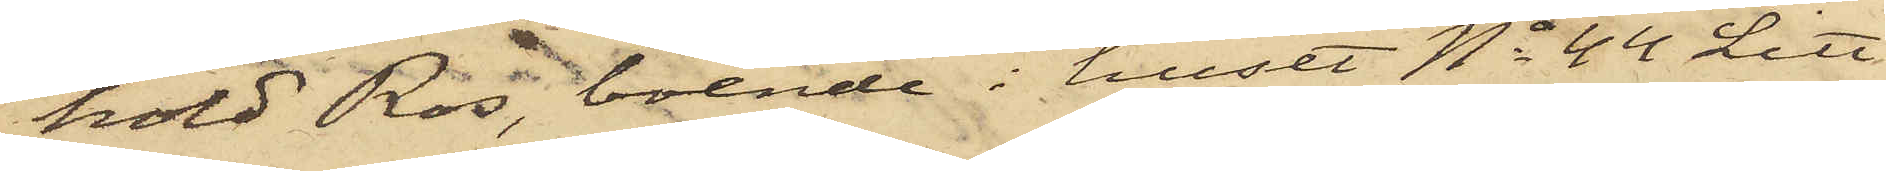hold Ros, boende i huset No 44 Litt
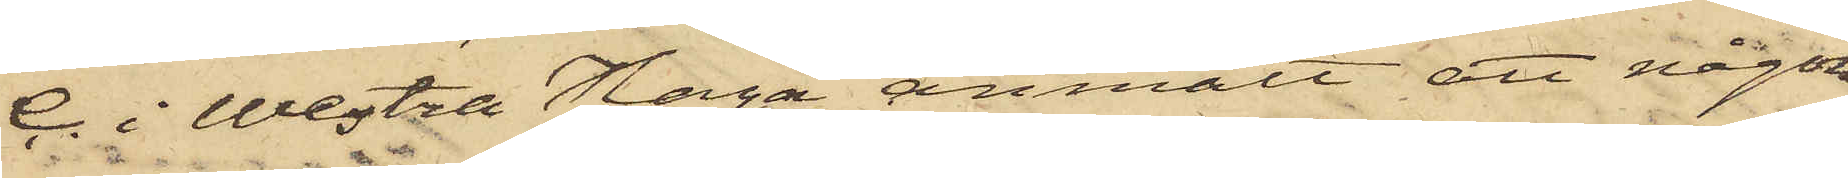C. i Westra Haga, anmält att någon
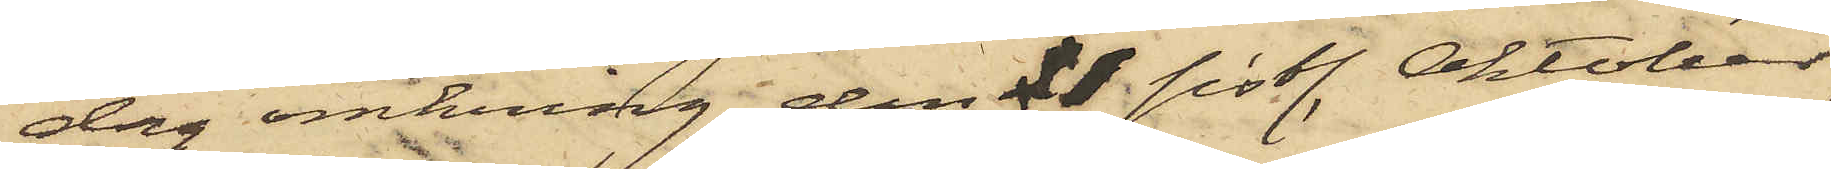dag omkring den 11 sistl. Oktober,
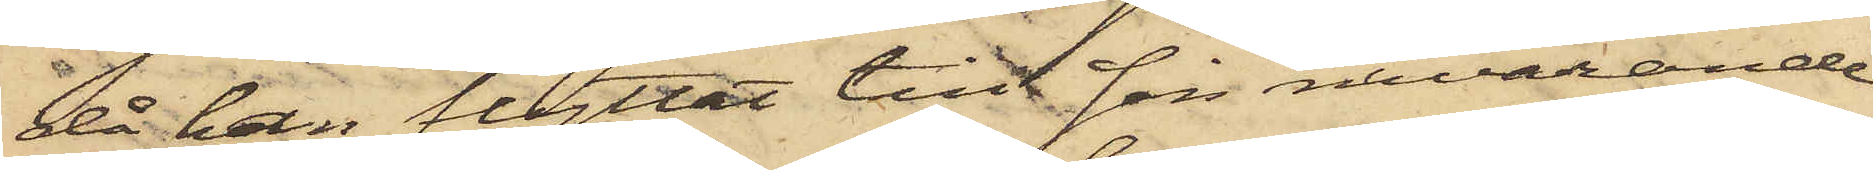då han flyttat till sin nuvarande
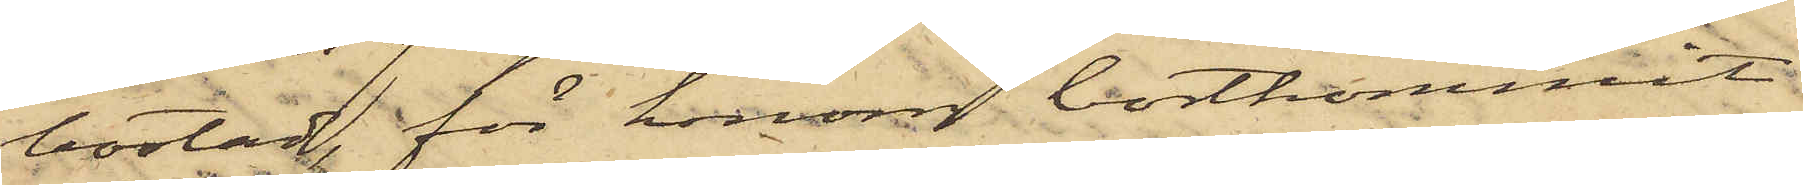bostad, för honom bortkommit
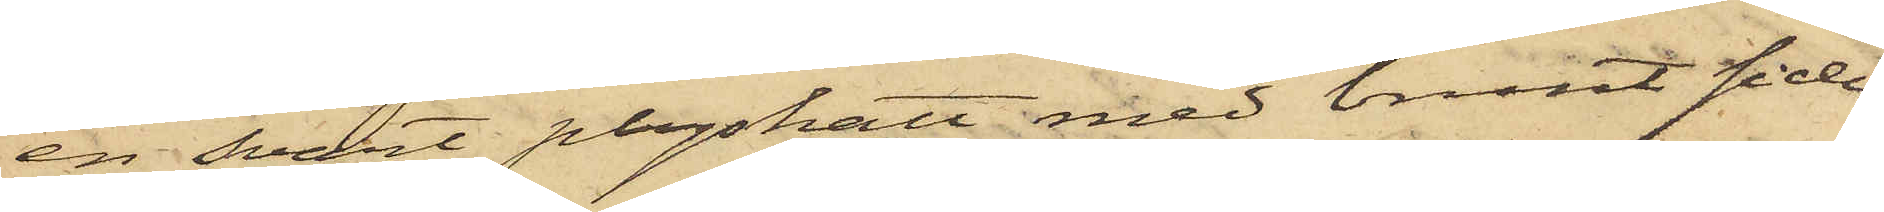en svart plyshatt med brunt siden¬
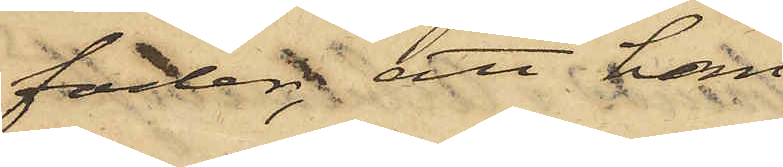foder; att han
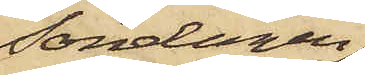Söndagen
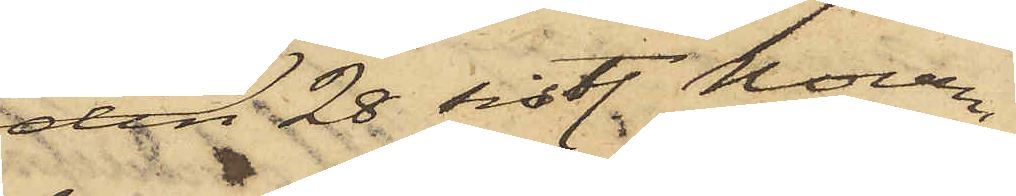den 28 sistl. Novem¬
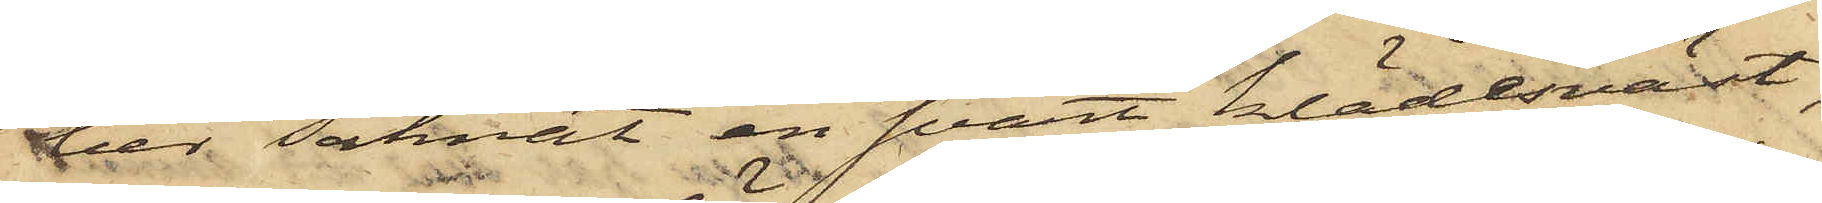ber saknat en svart klädesväst,
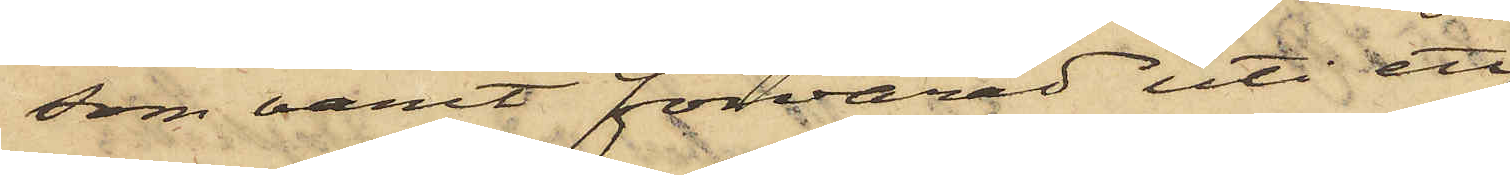som varit förvarad uti ett
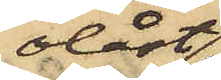olåst
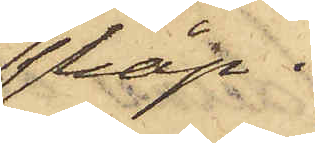skåp i
